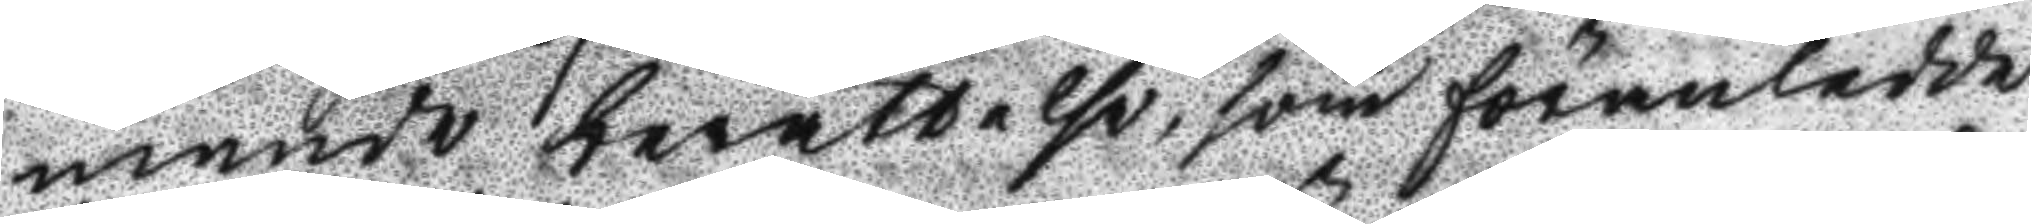mande berättelse, som föranledde
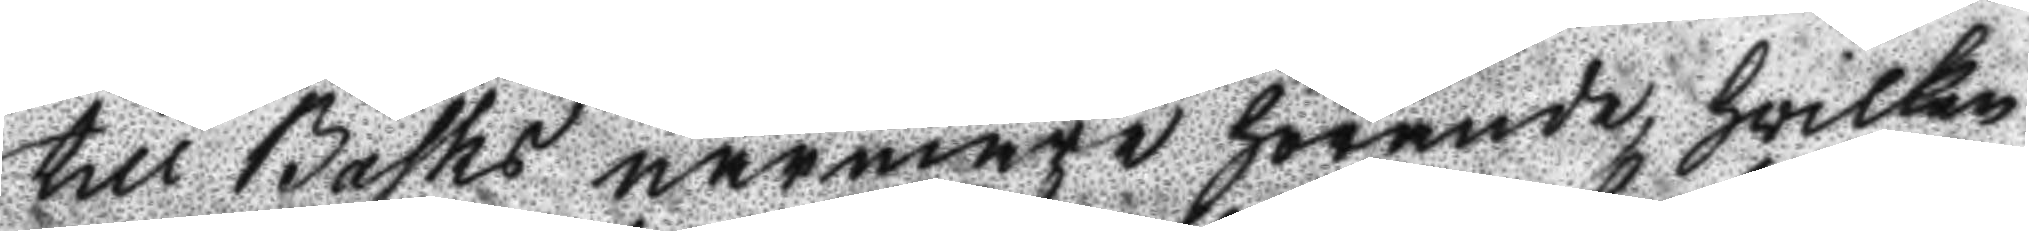till Basks närmare hörande, hwilken
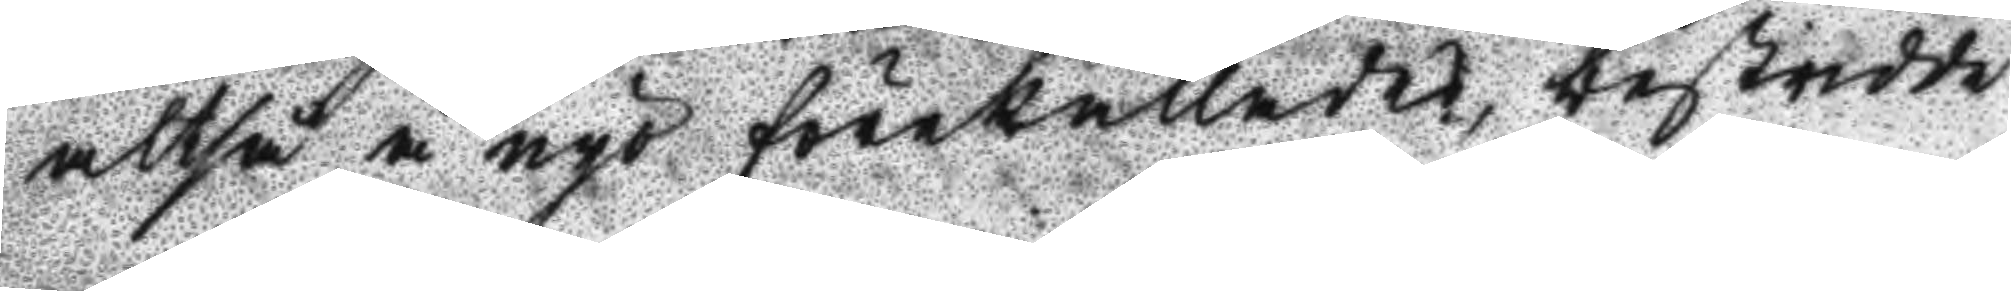altså å nyo förekallades, bestridde
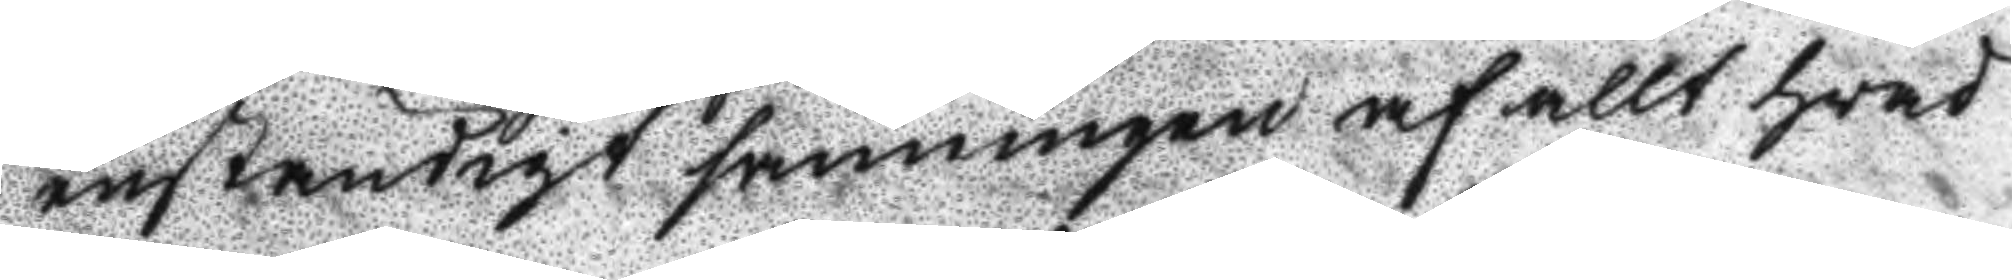enständigt sanningen af allt hvad
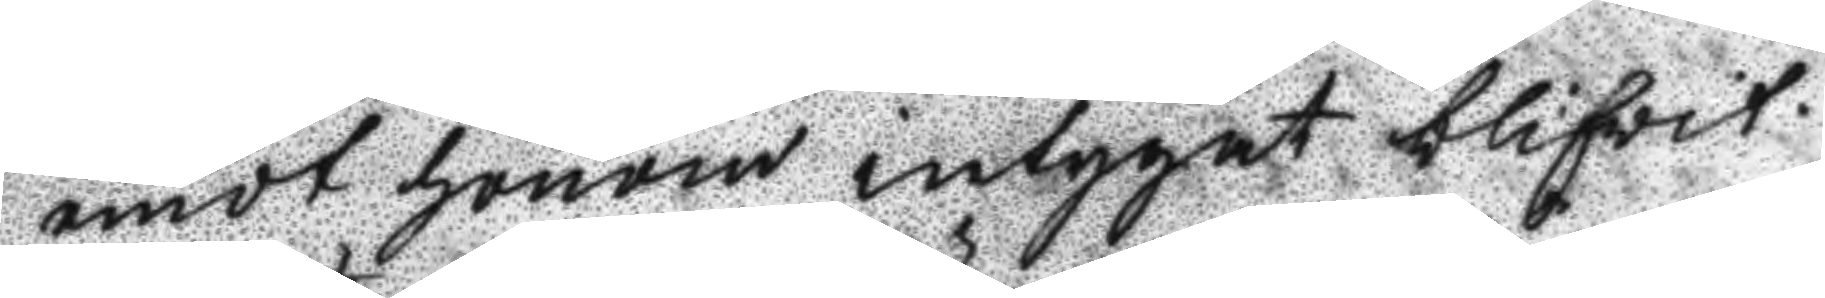emot honom intygat blifvit.
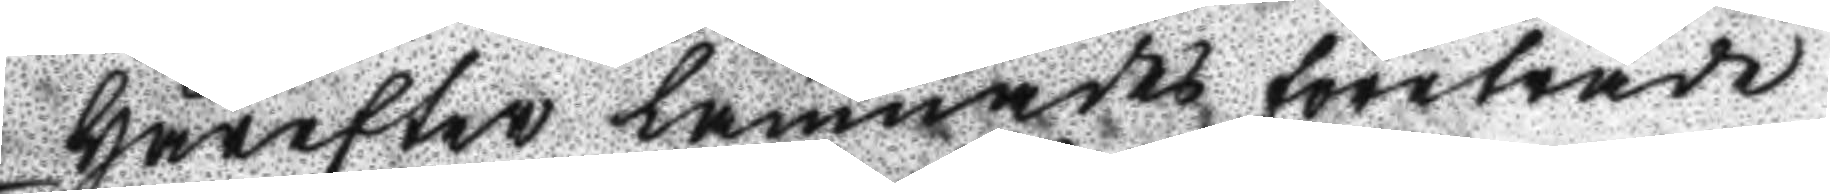Härefter lämnades företräde
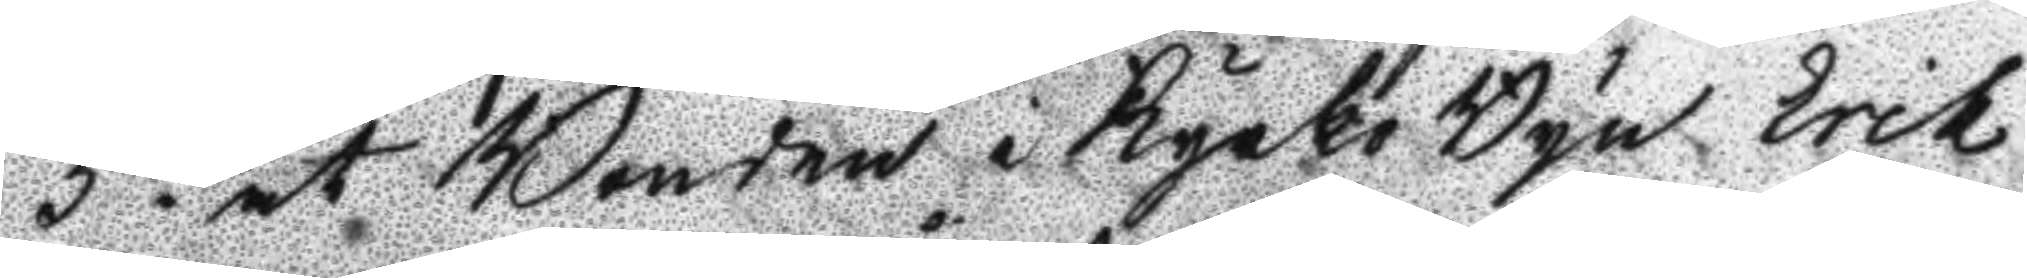5to. åt Bonden i Kyrko Byn Erik
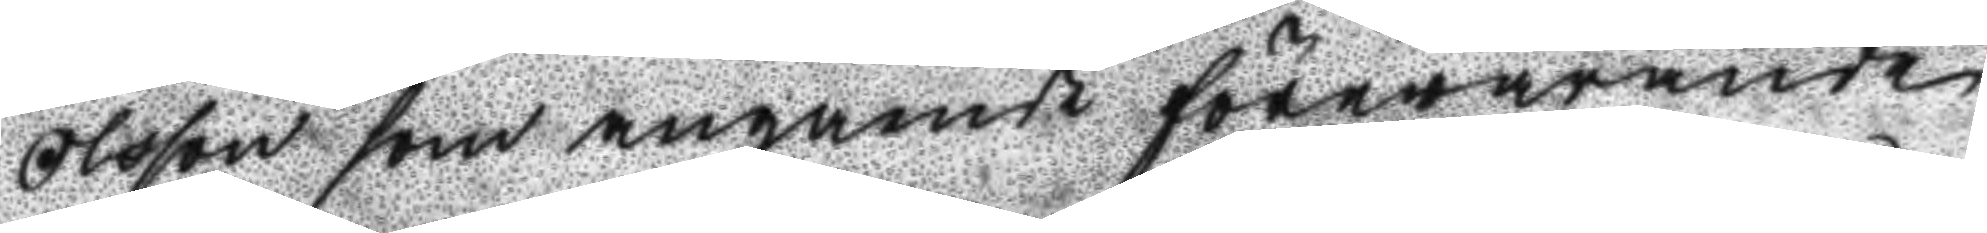Olsson som angående förevarande
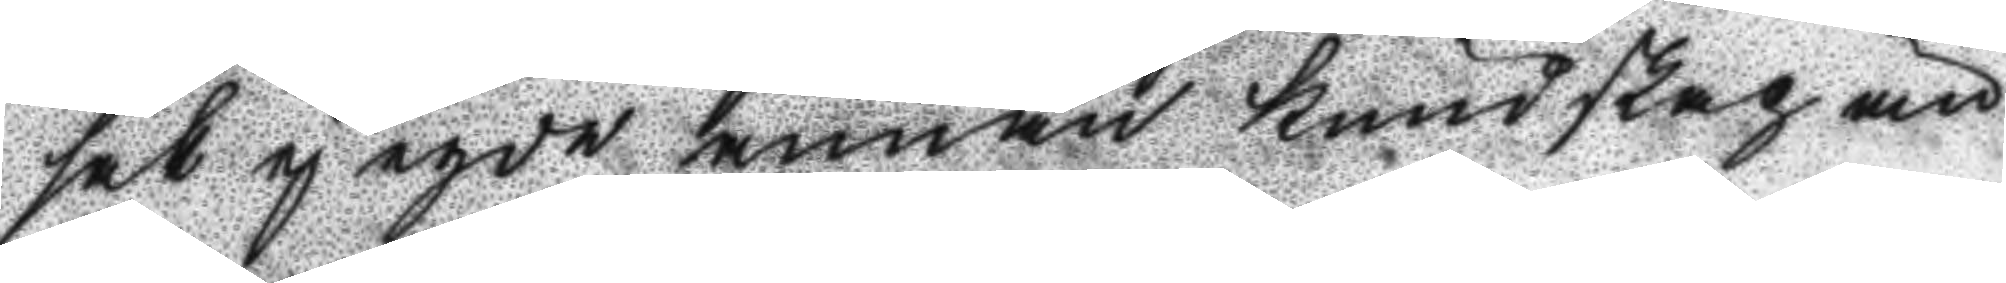sak ej egde annan kundskap än
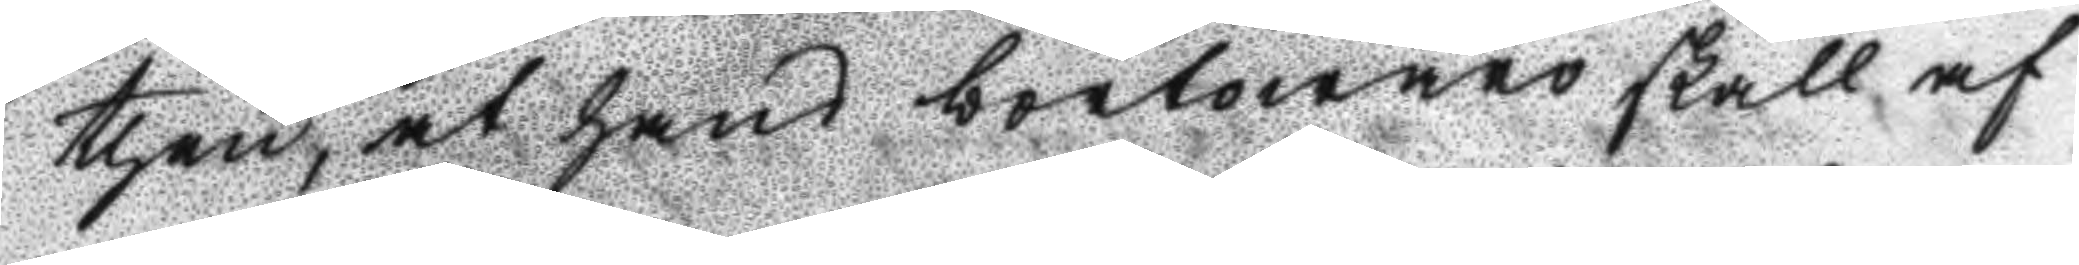then, at hans bortowaro skall af
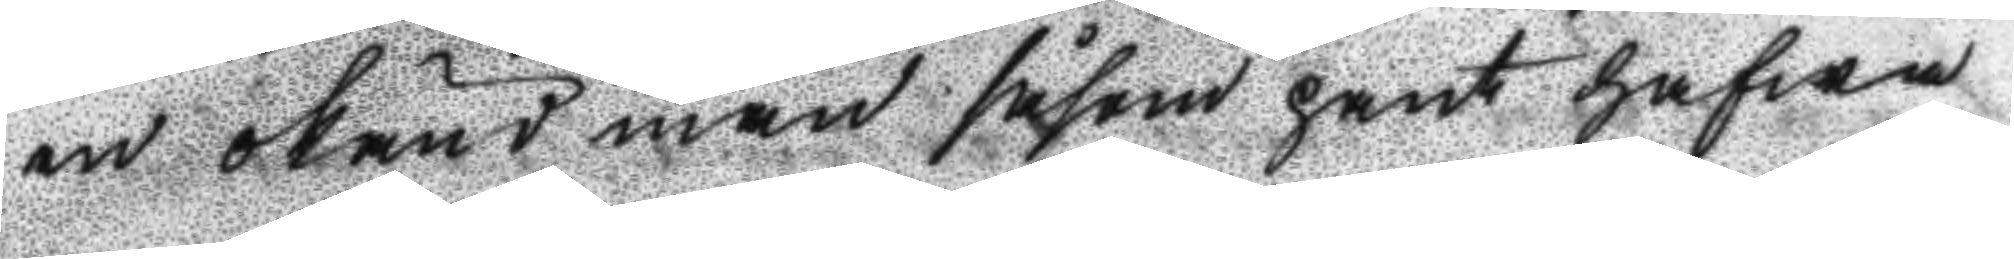en okänd man såsom pant hafwa
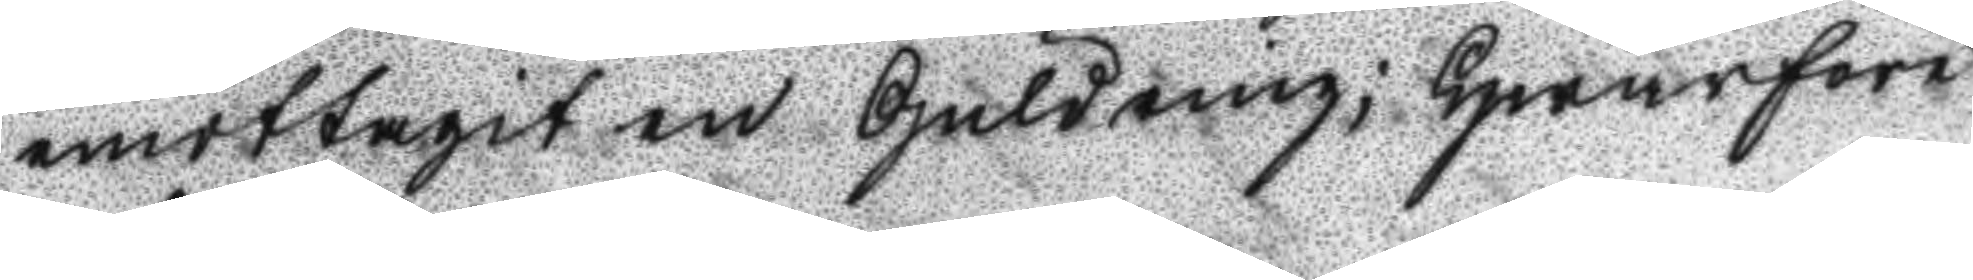emottagit en GUldring; Hwarföre
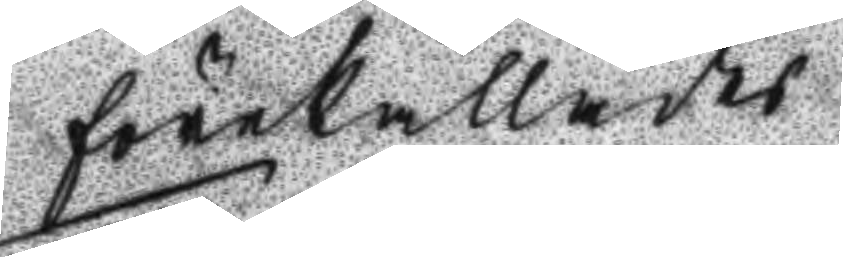förekallades
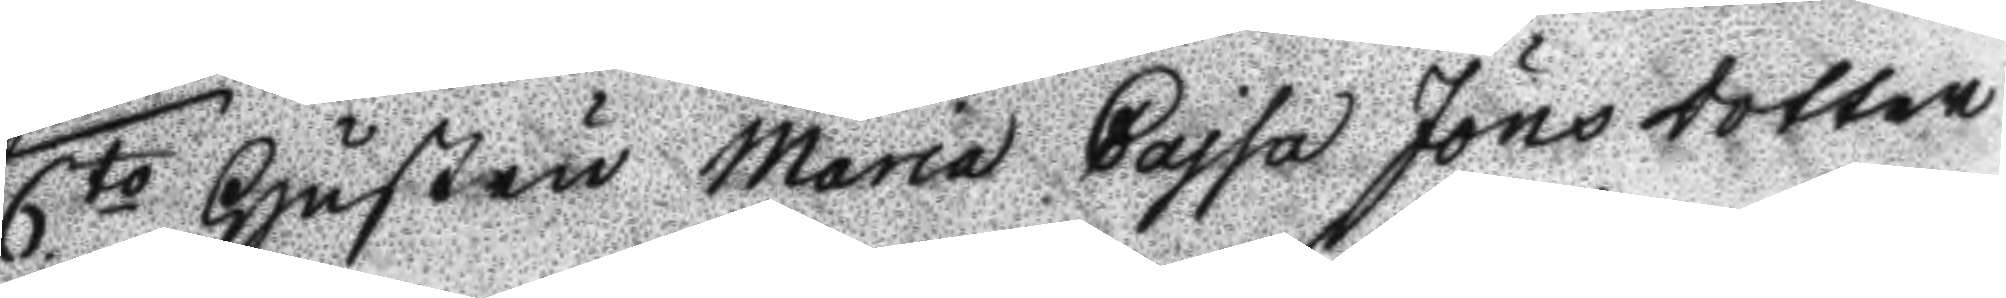6.to Hustrun maria Cajsa Jöns dotter
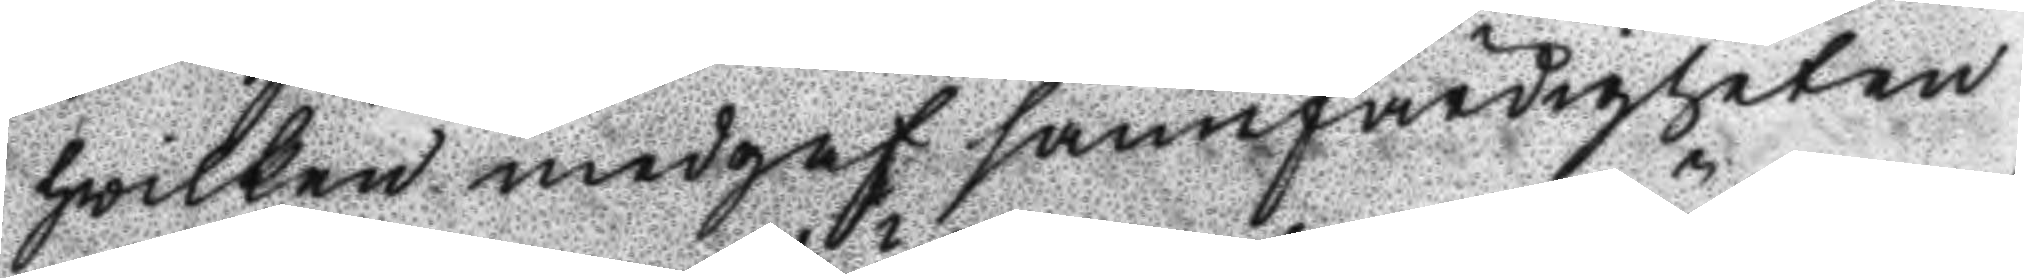hwilken medgaf sannfärdigheten
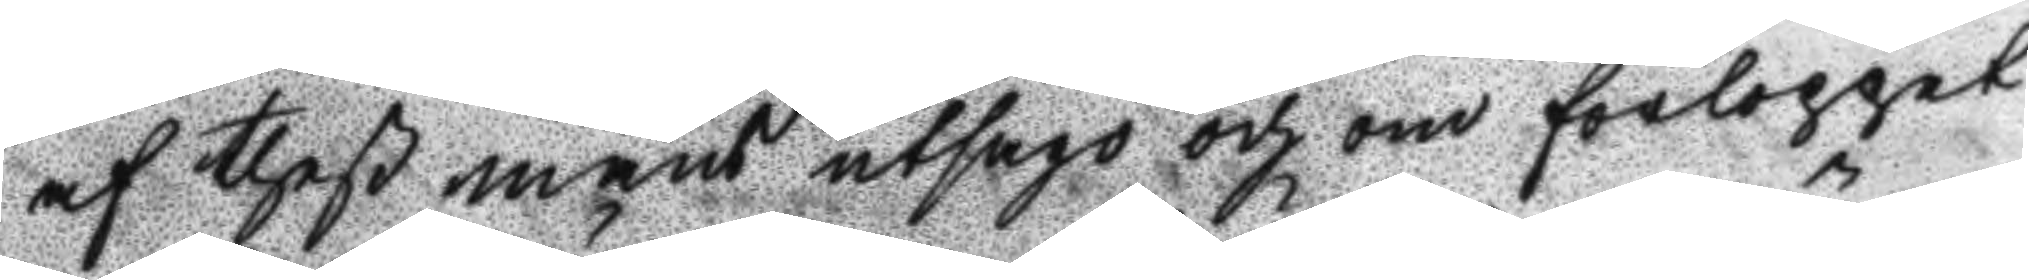af theß mans utsago och om förloppet
